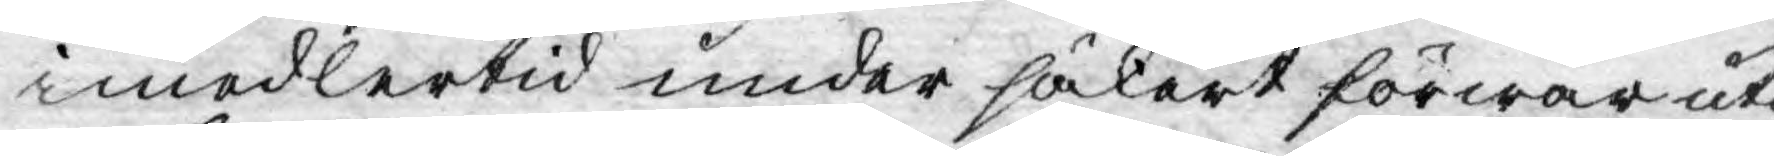imedlertid under säkert förwar uti
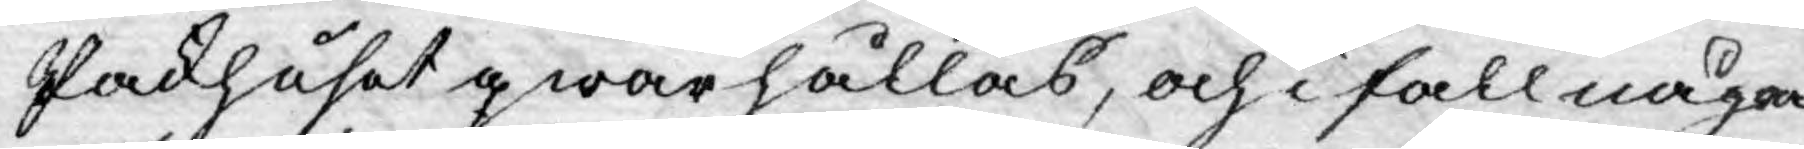Packhuset qwarhållas, och i fall någon
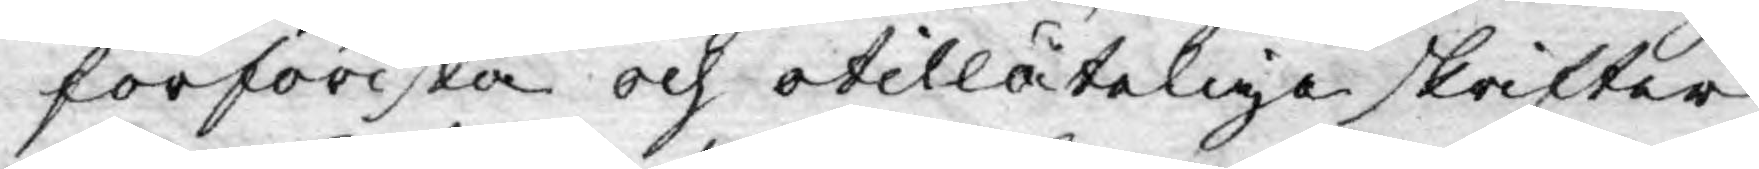förföriska och otillåteliga skrifter
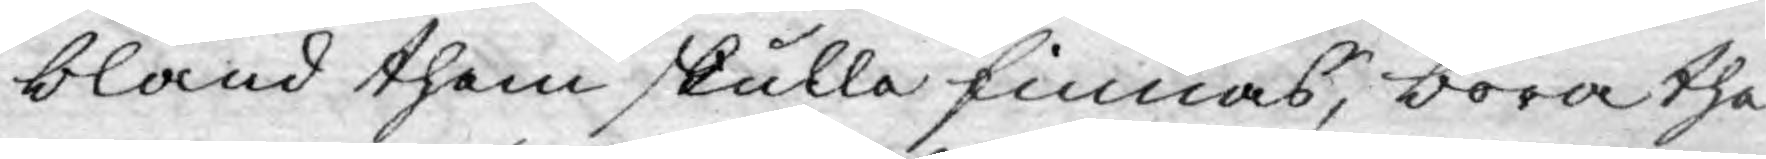bland them skulle finnas, böra the
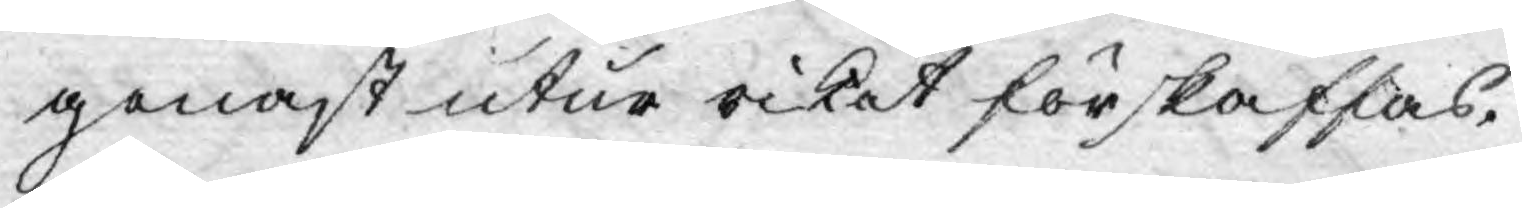genast utur riket förskaffas.
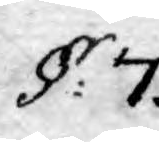§: 7.
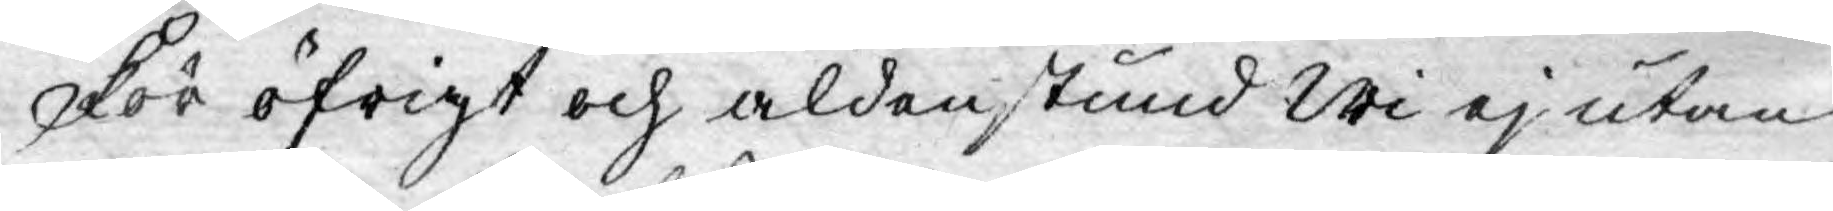För öfrigt och aldenstund Wi ej utan
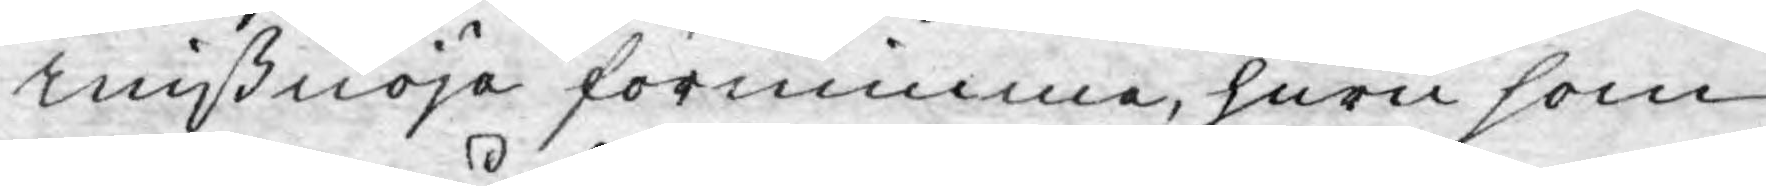mißnöje förnimme, huru som
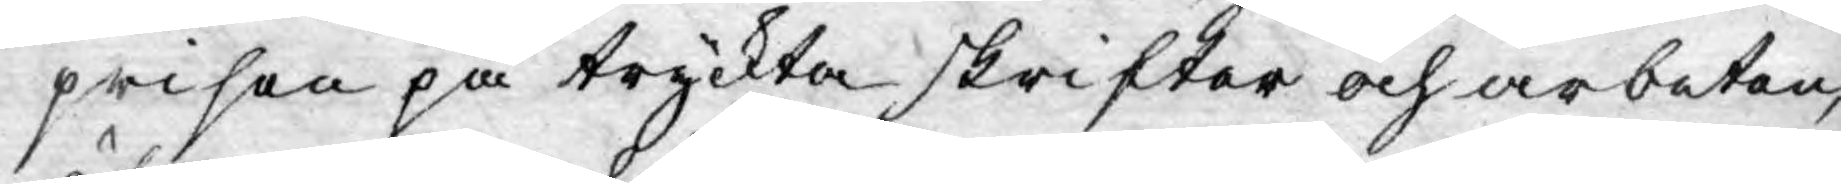prisen på tryckta skrifter och arbeten,
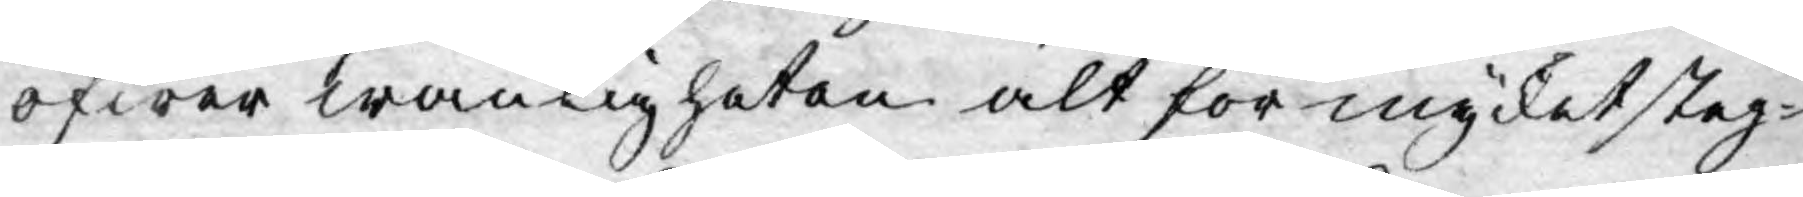öfwer wanligheten alt för mycket steg-
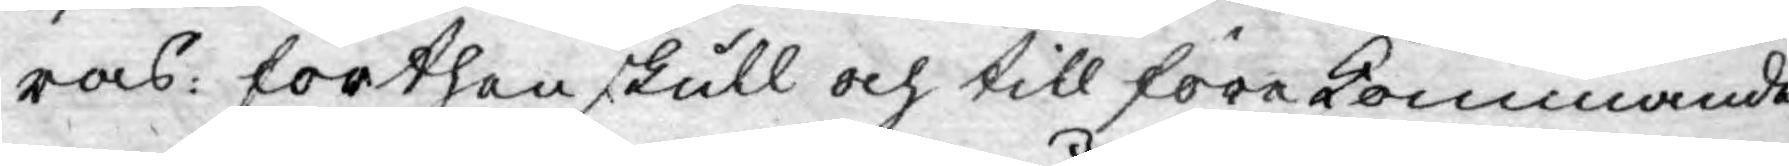ras: förthen skull och till förekommande
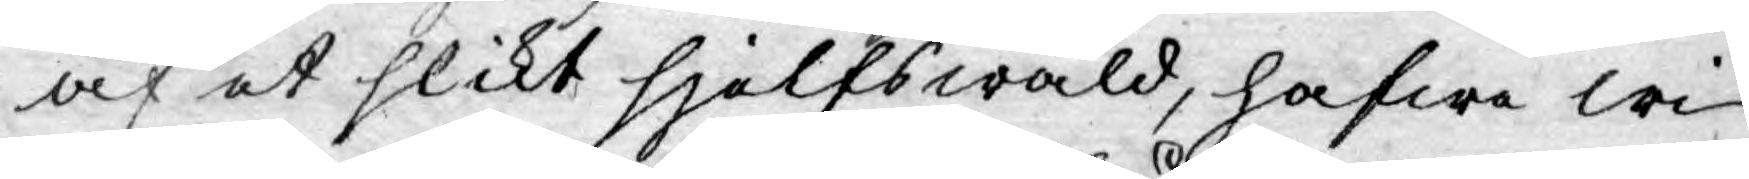af et slikt sjelfswåld, hafwa wi
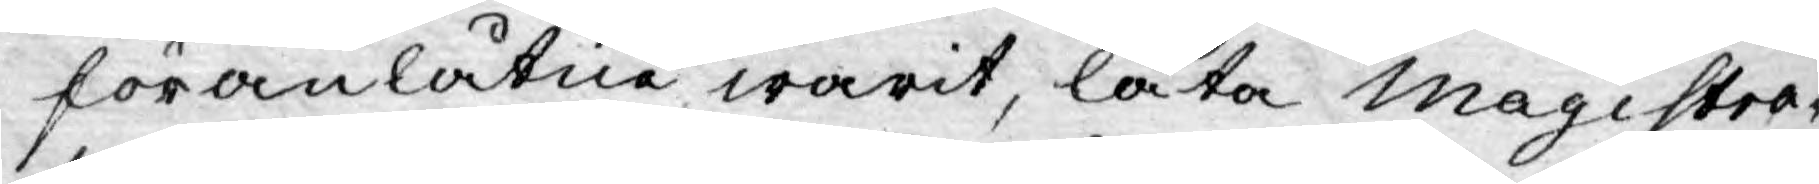föranlåtne warit, låta Magistra¬
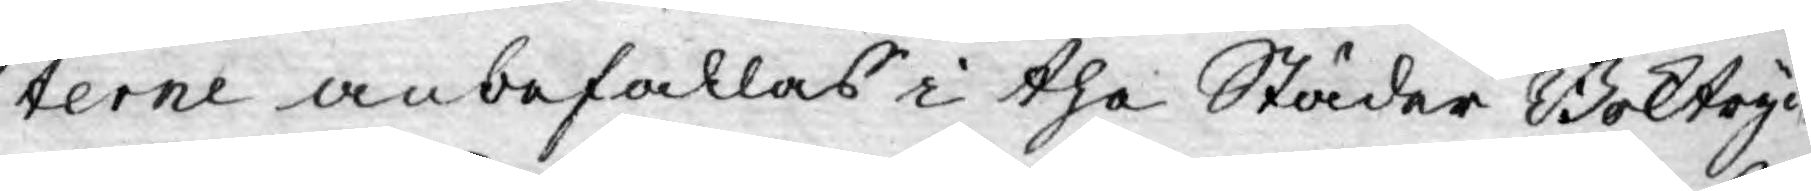terne anbefallas i the Städer Boktryc-
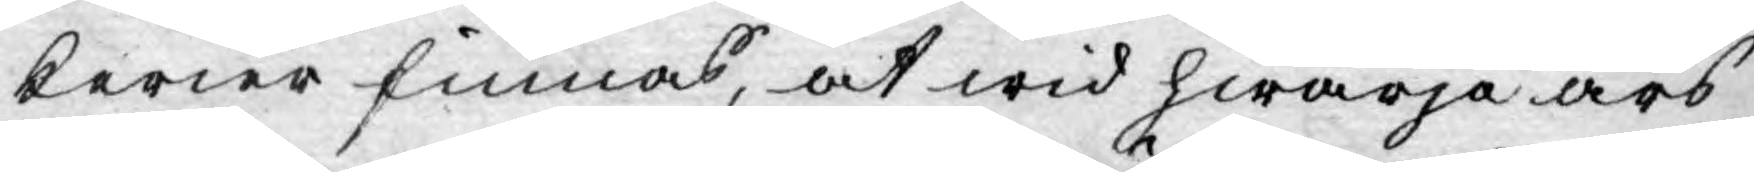kerier finnas, at wid hwarje års
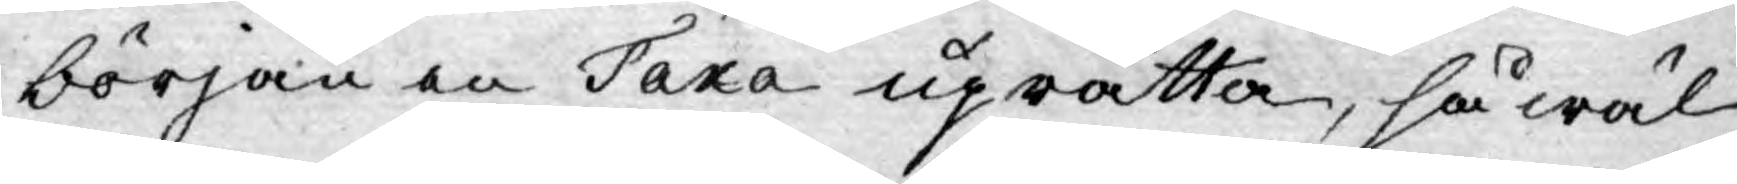början en Taxa uprätta, så wäl
